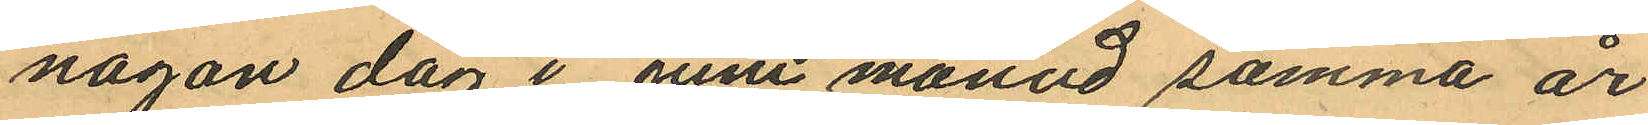någon dag i Juni månad samma år
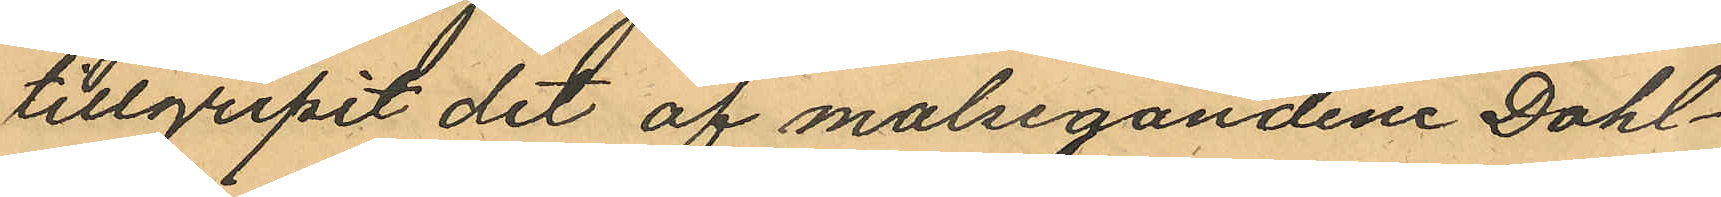tillgripit det af målsegandene Dahl¬
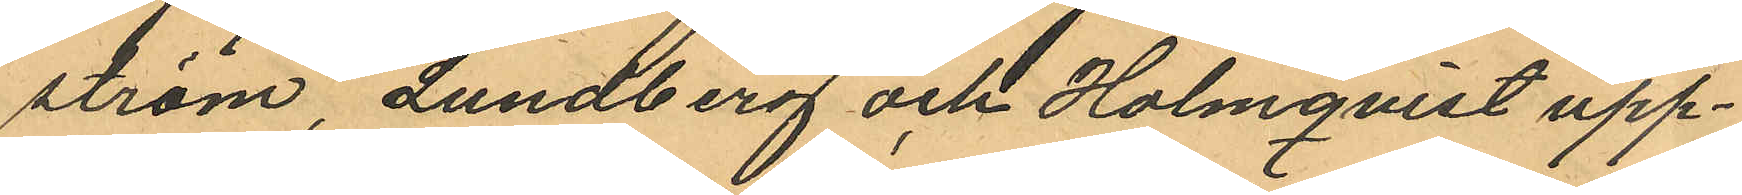ström, Lundberg och Holmqvist upp¬
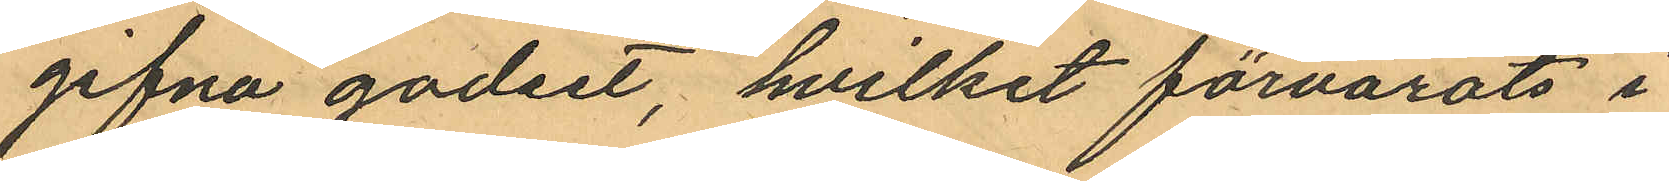gifna godset, hvilket förvarats i
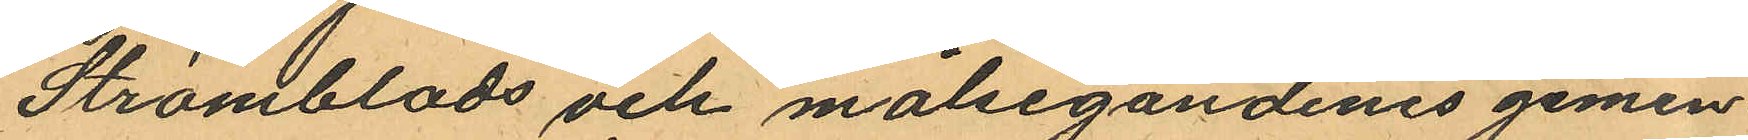Strömblads och målsegandenes gemen¬
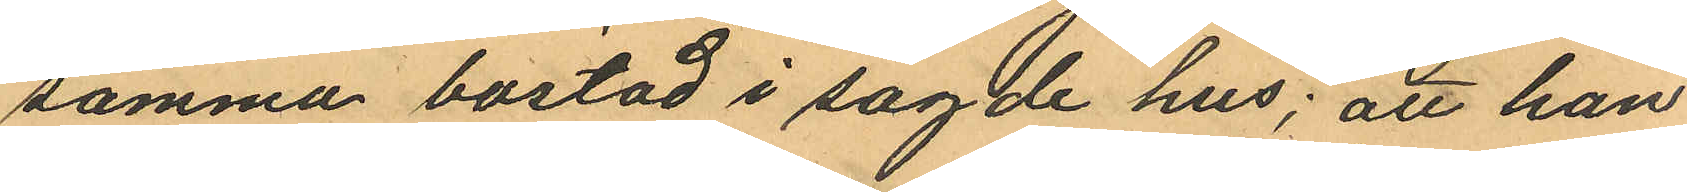samma bostad i sagde hus; att han
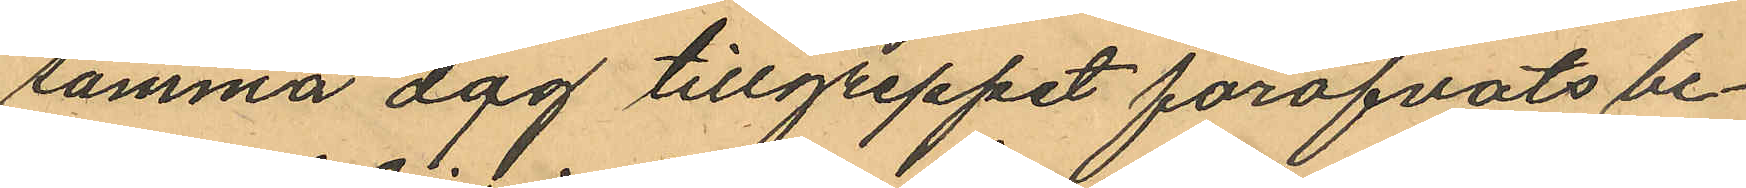samma dag tillgreppet föröfvats be¬
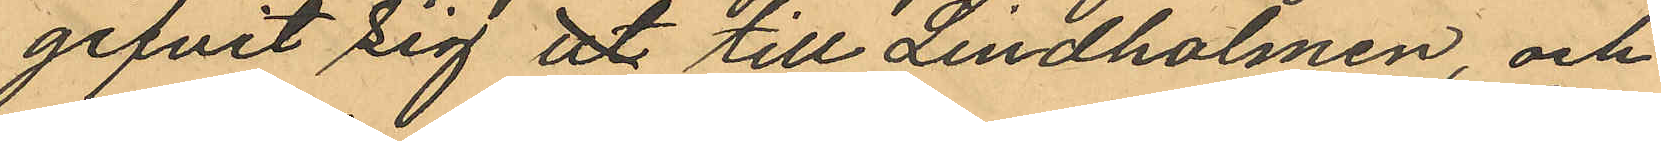gifvit sig ut till Lindholmen, och
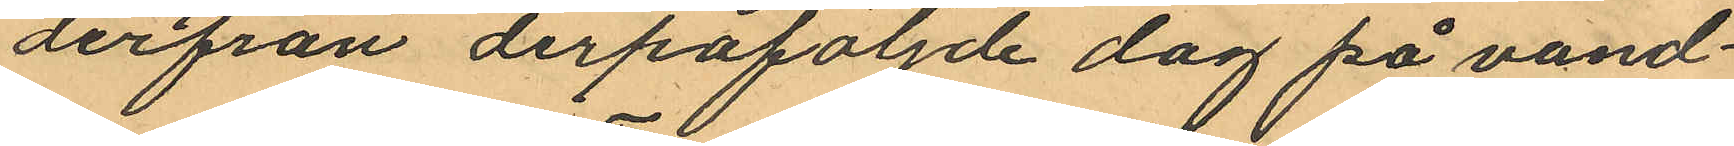derfrån derpåföljande dag på vand¬
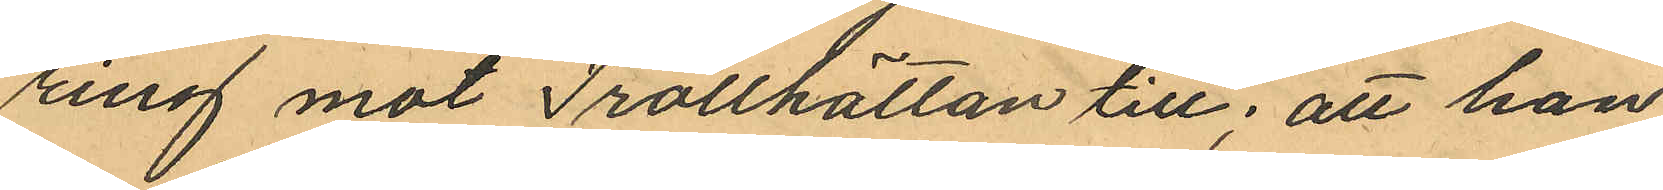ring mot Trollhättan till; att han
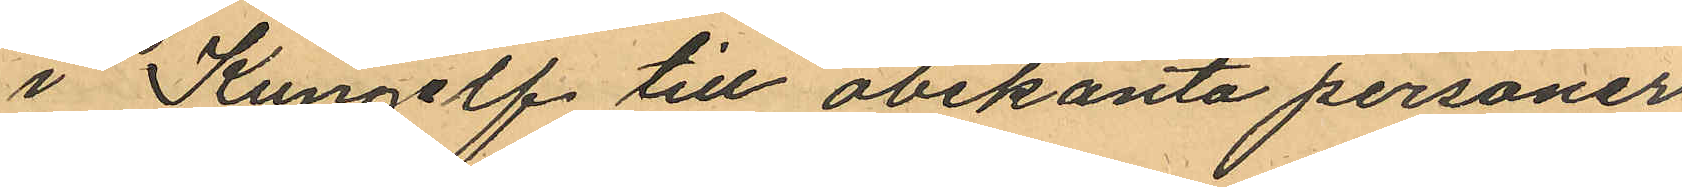i Kungelf till obekanta personer
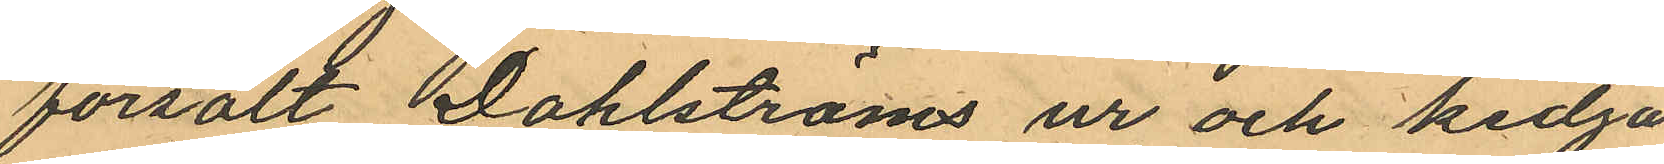försålt Dahlströms ur och kedja
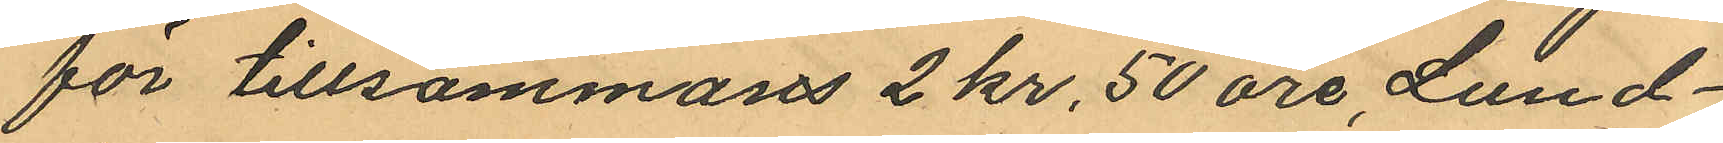för tillsammans 2 kr, 50 öre, Lund¬
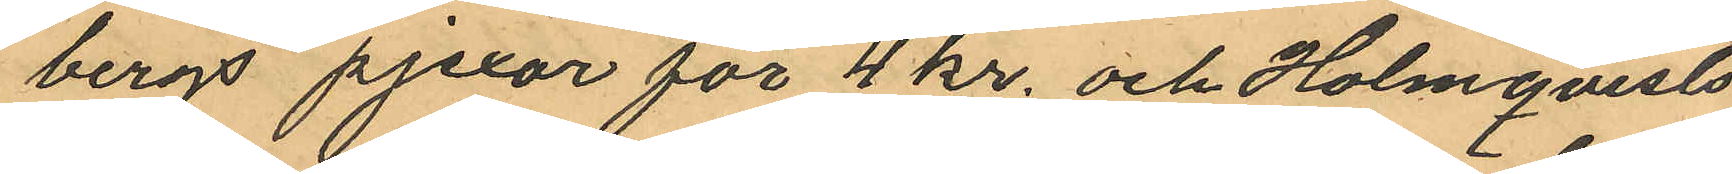bergs pjexor för 4 kr. och Holmqvists
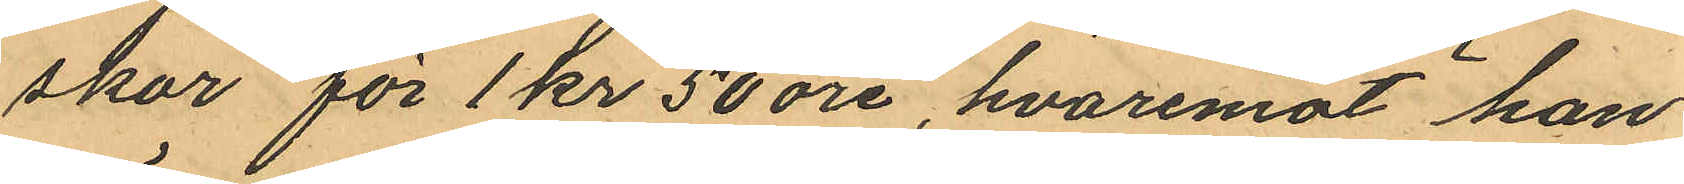skor för 1 kr 50 öre, hvaremot han
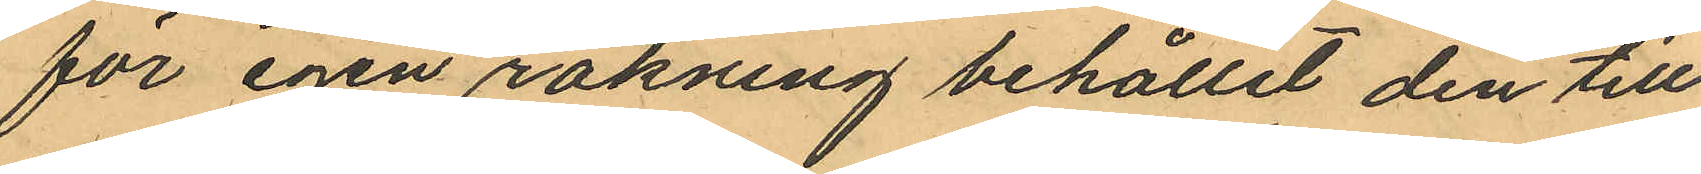för egen räkning behållit den till
